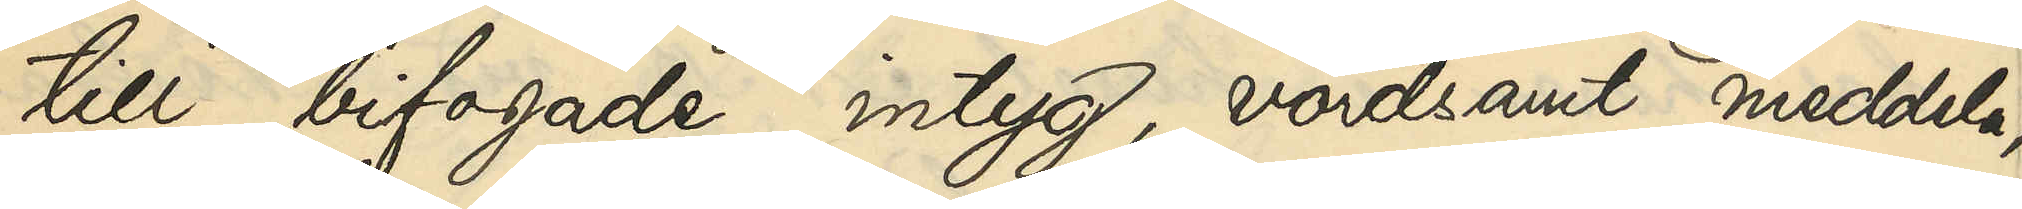till bifogade intyg, vördsamt meddela,
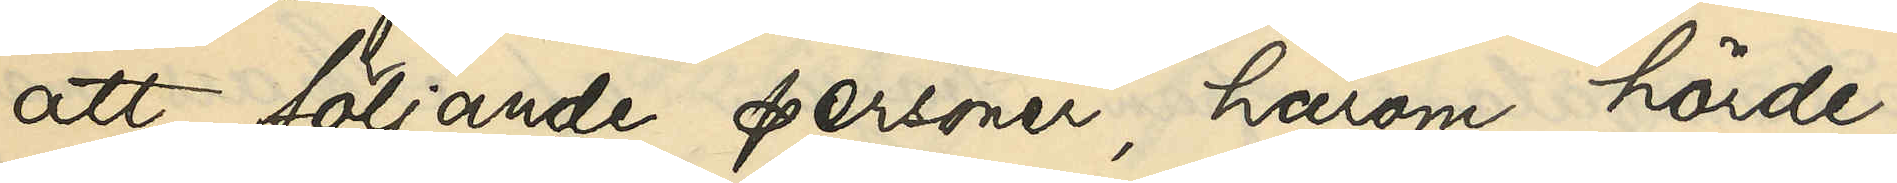att följande personer, härom hörde,
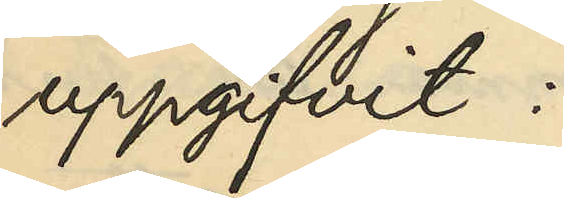uppgifvit:
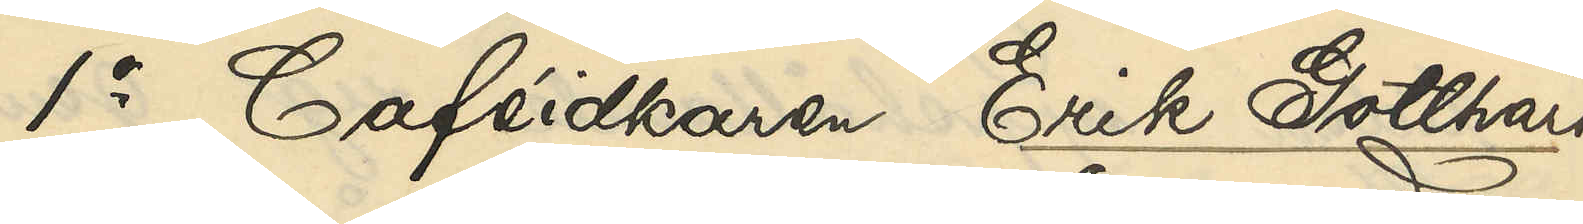1o Caféidkaren Erik Gotthard
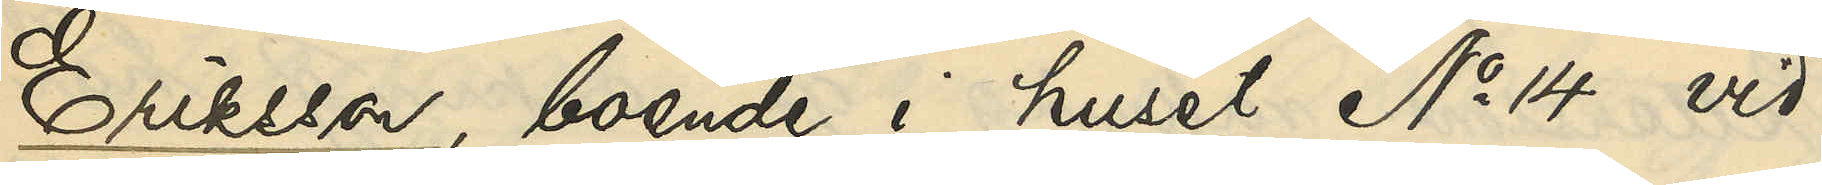Eriksson, boende i huset No 14 vid
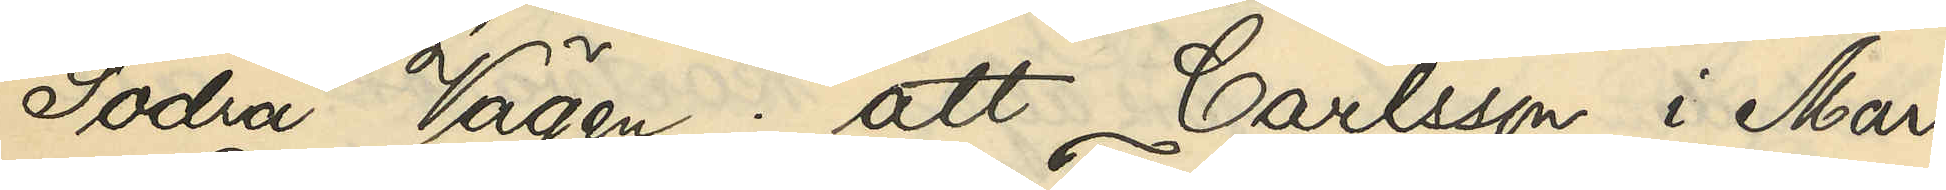Södra Vägen: att Carlsson i Mars
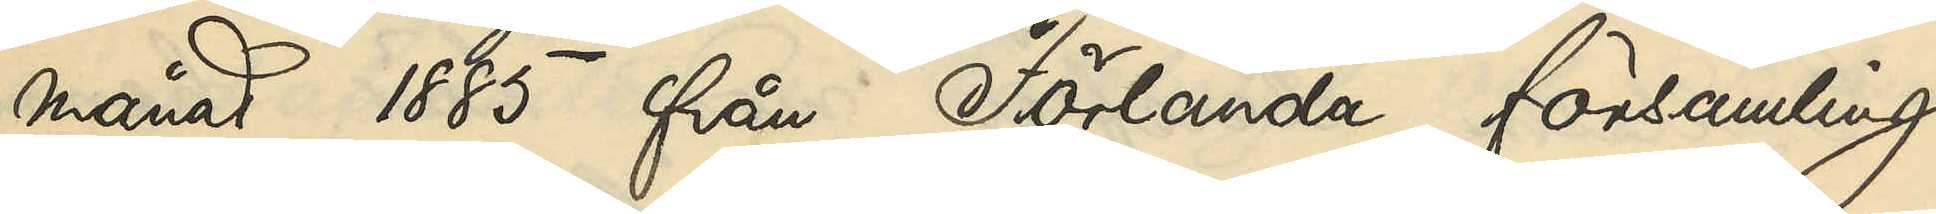månad 1885 från Förlanda församling
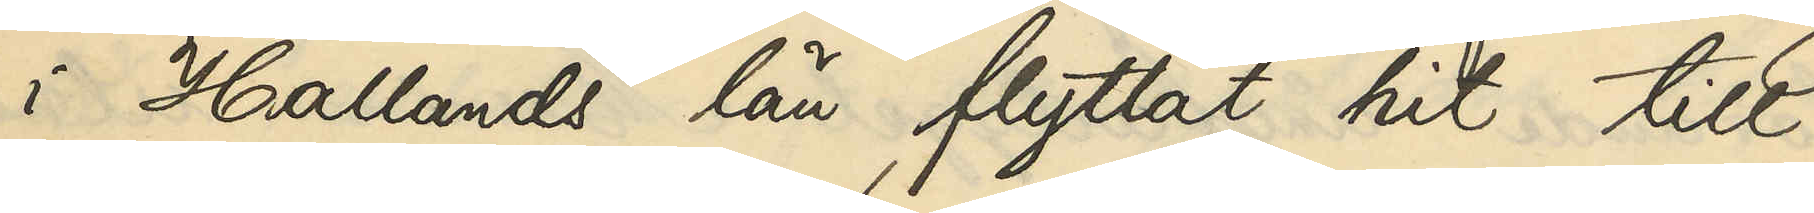i Hallands län flyttat hit till
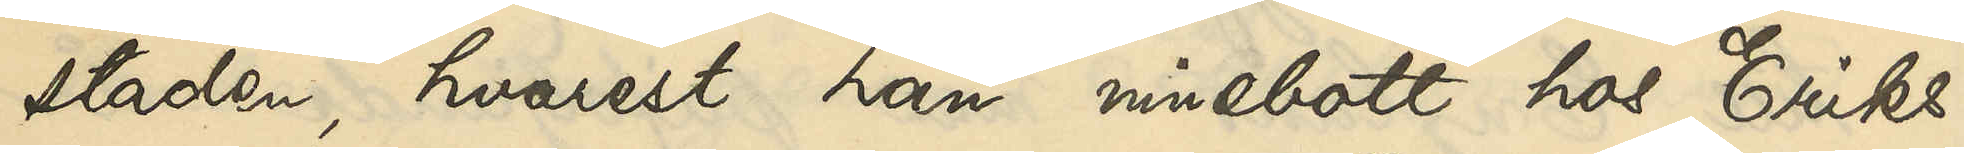staden, hvarest han innebott hos Eriks¬
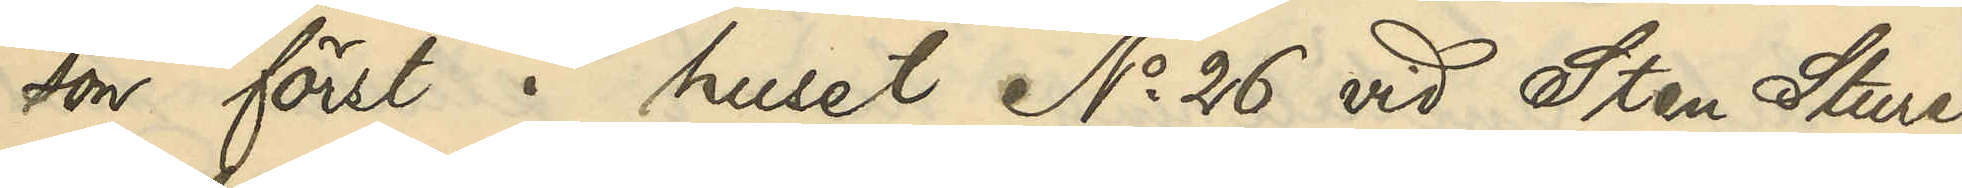son först i huset No 26 vid Sten Sture¬
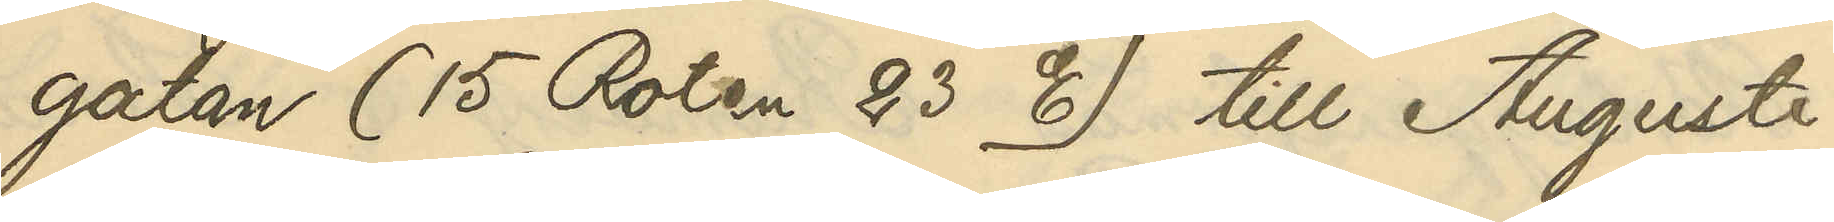gatan (15 Roten 23 E) till Augusti
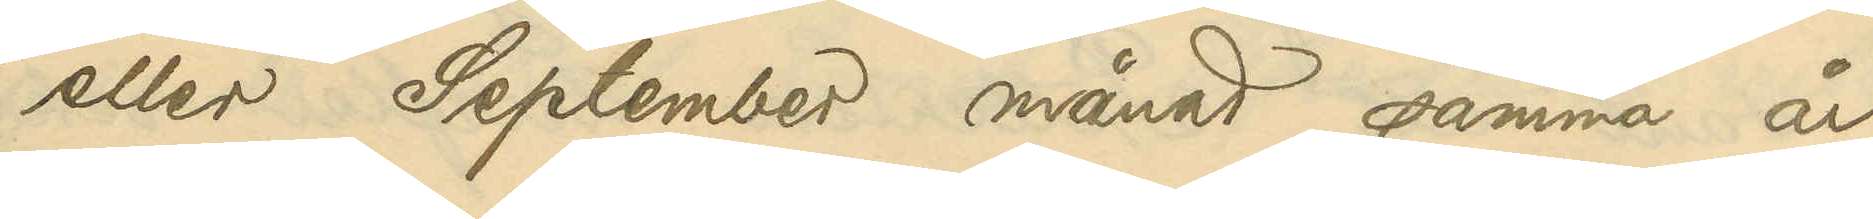eller September månad samma år
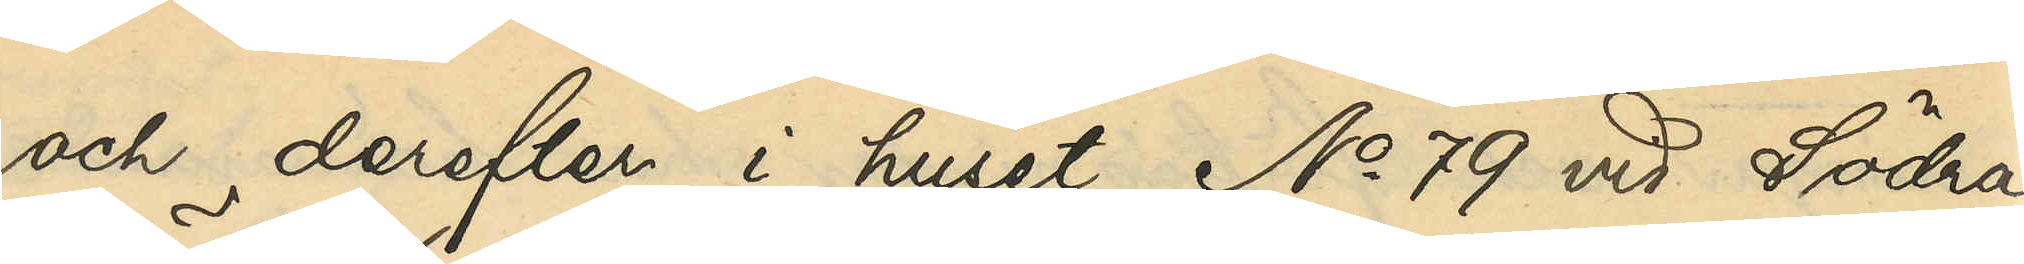och derefter i huset No 79 vid Södra
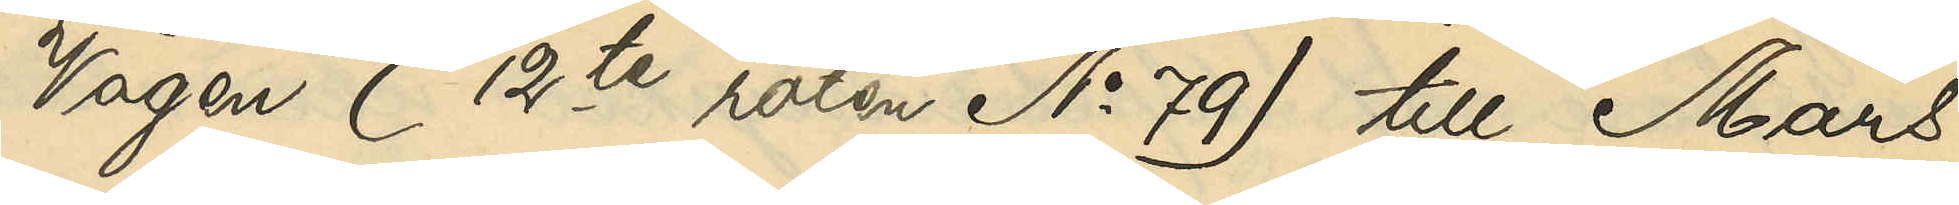Vägen (12te roten No 79) till Mars
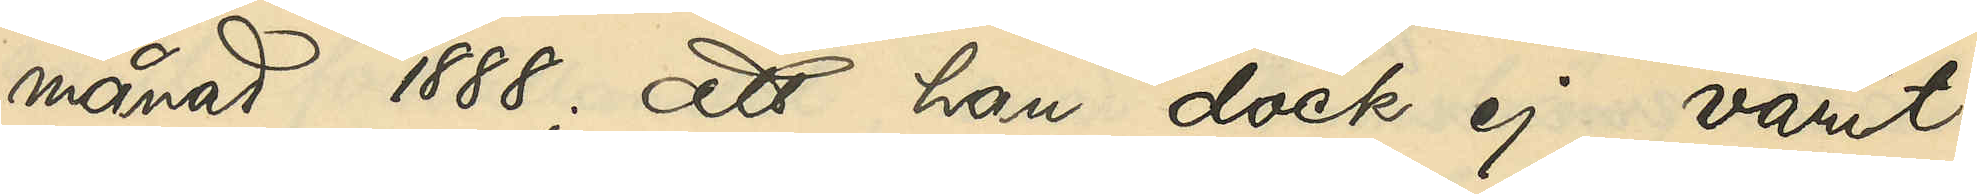månad 1888; att han dock ej varit
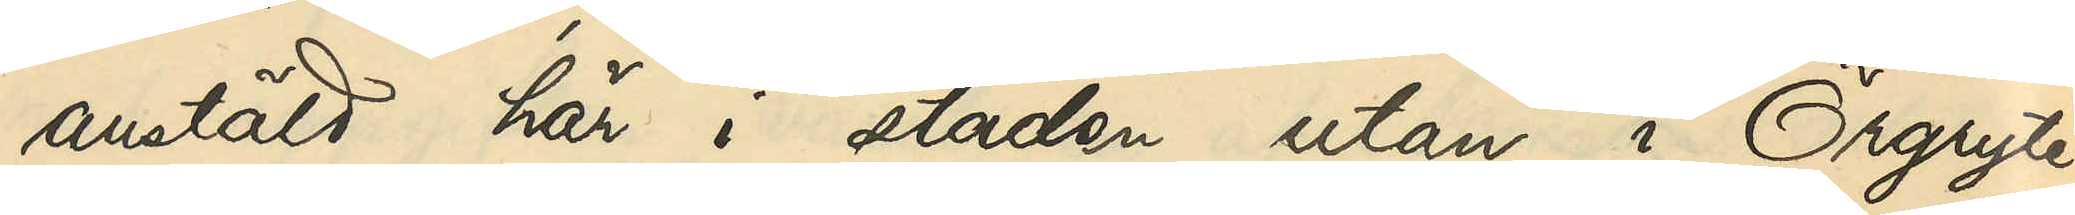anstäld här i staden utan i Örgryte
